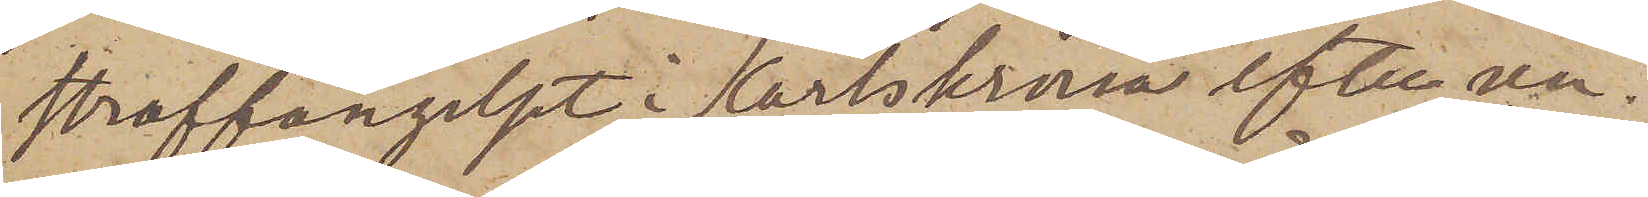Straffängelset i Karlskrona efter un¬
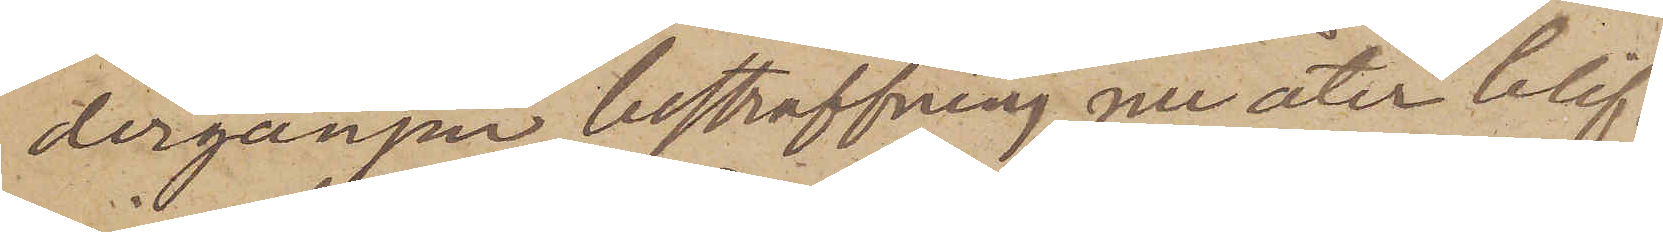dergången bestraffning, nu åter blif¬
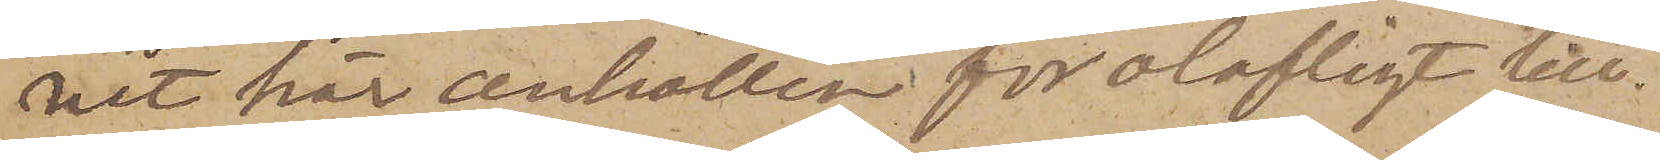vit här anhållen för olofligt till¬
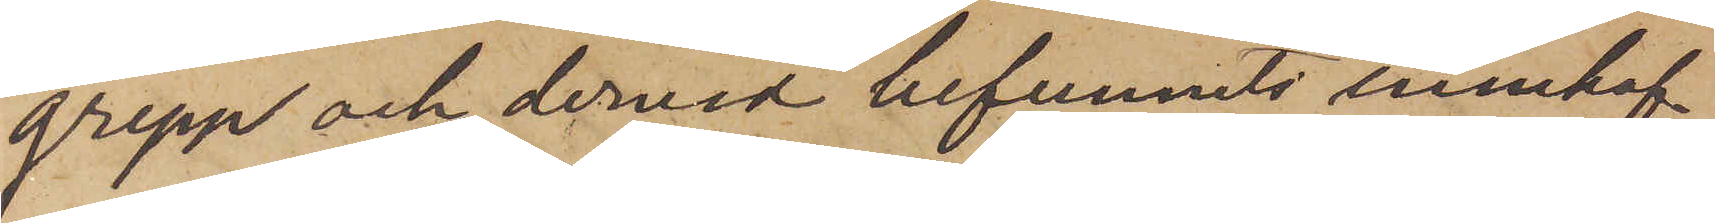grepp och dervid befunnits innehaf¬
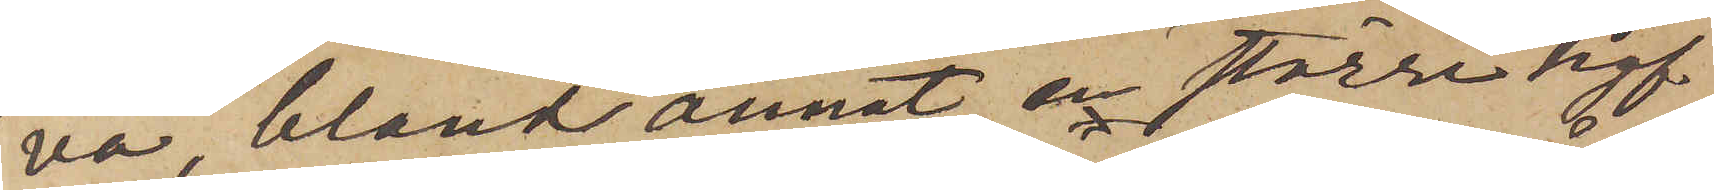va, bland annat, en större hyf¬
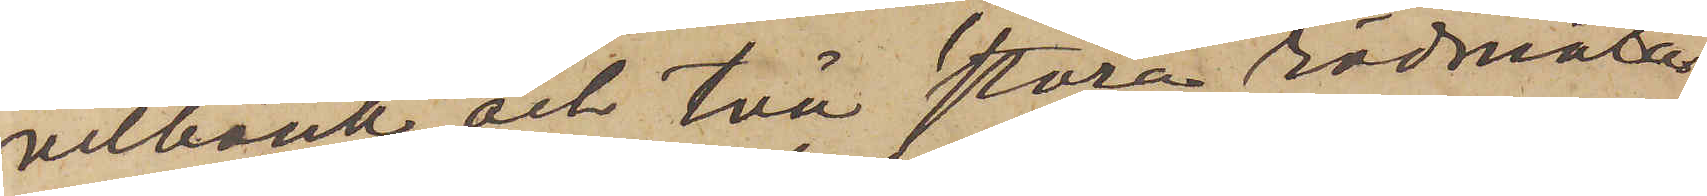velbänk och två stora rödmåla¬
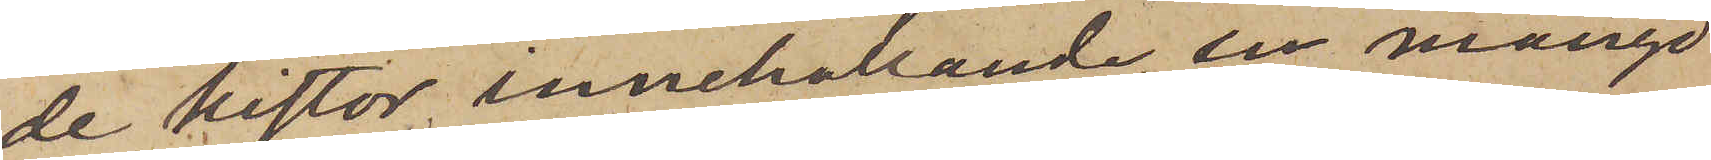de kistor innehållande en mängd
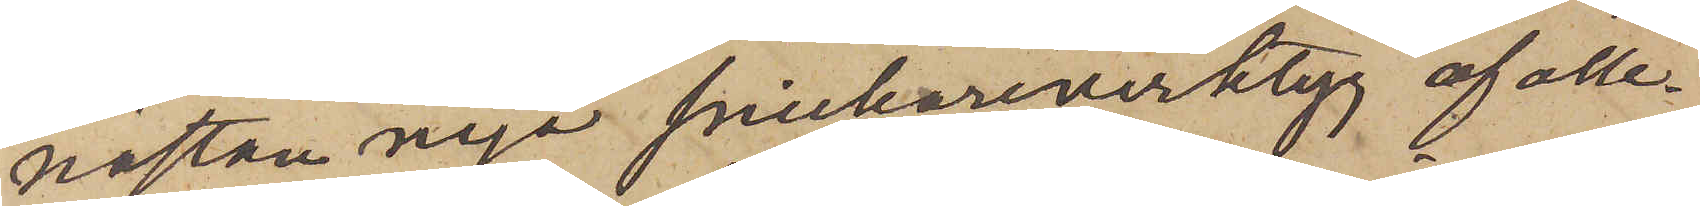nästan nya snickareverktyg af alle¬
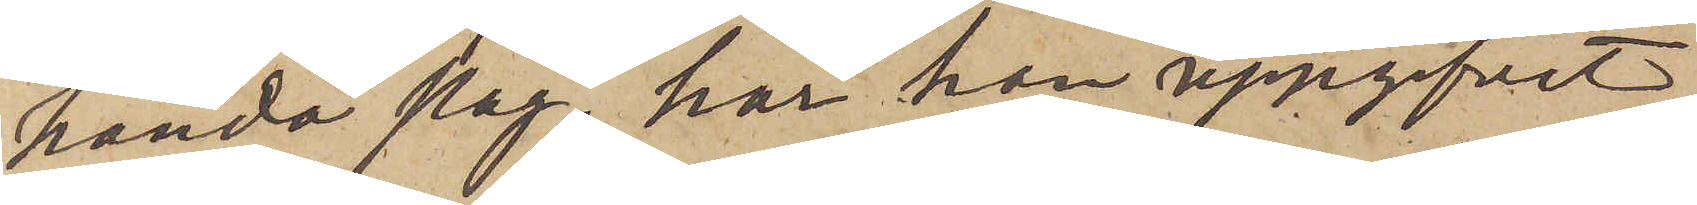handa slag, har han uppgifvit,
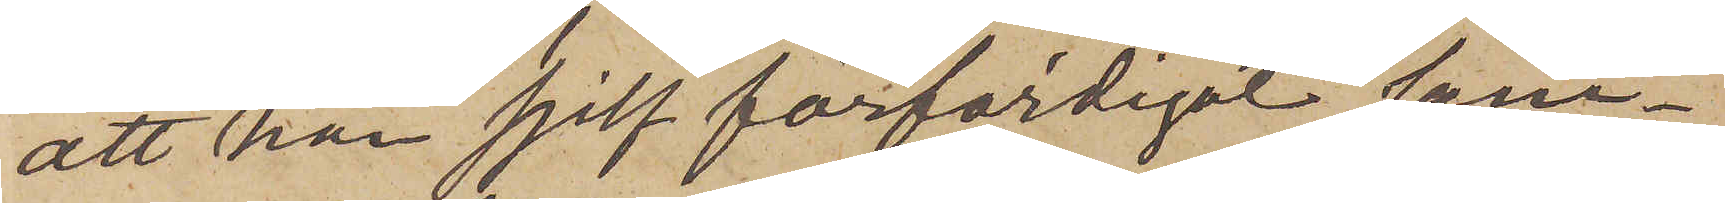att han sjelf förfärdigat sam¬
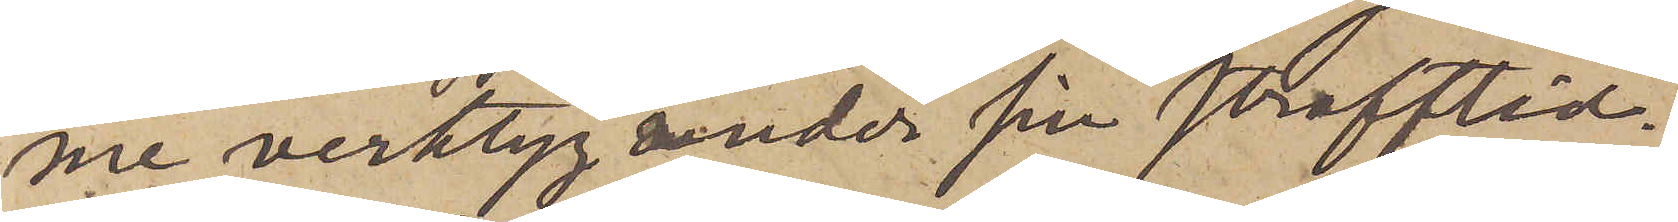me verktyg under sin strafftid
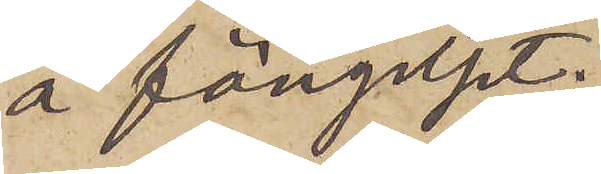å fängelset.
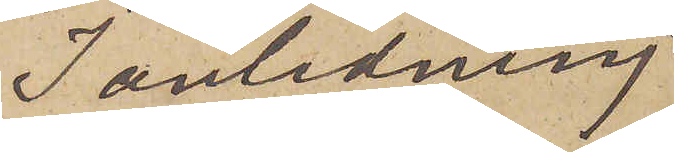I anledning
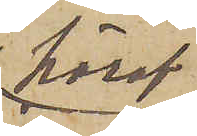häraf
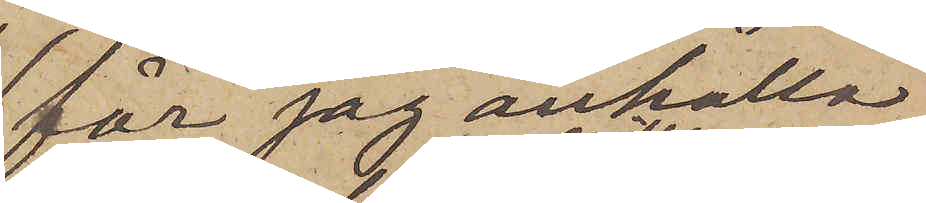får jag anhålla
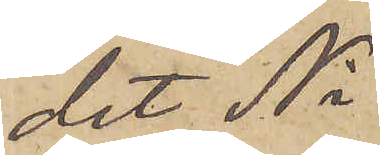det Ni
